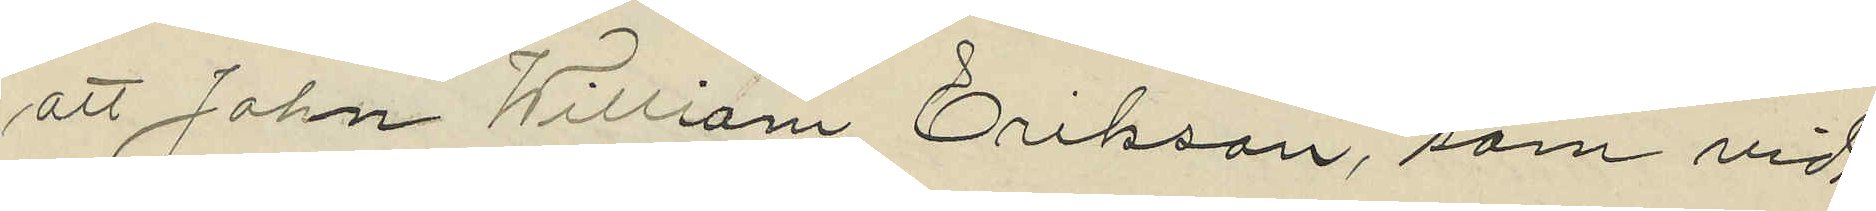att John William Erikson, som vid
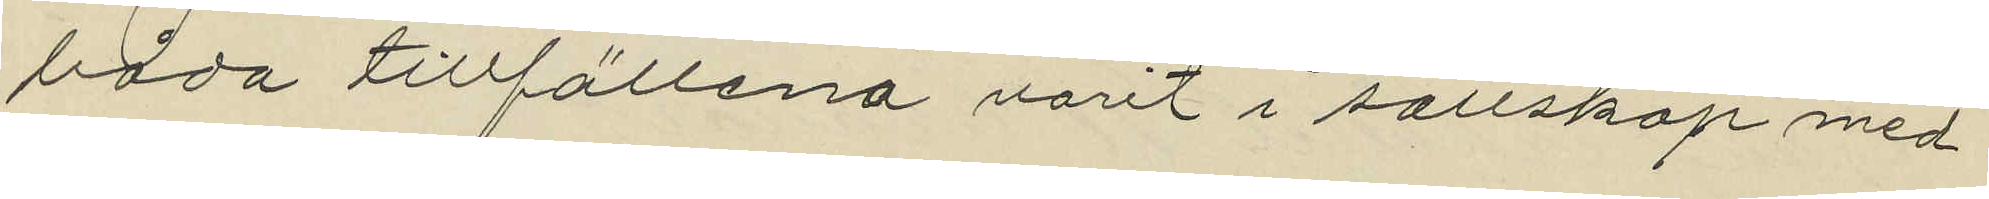båda tillfällena varit i sällskap med
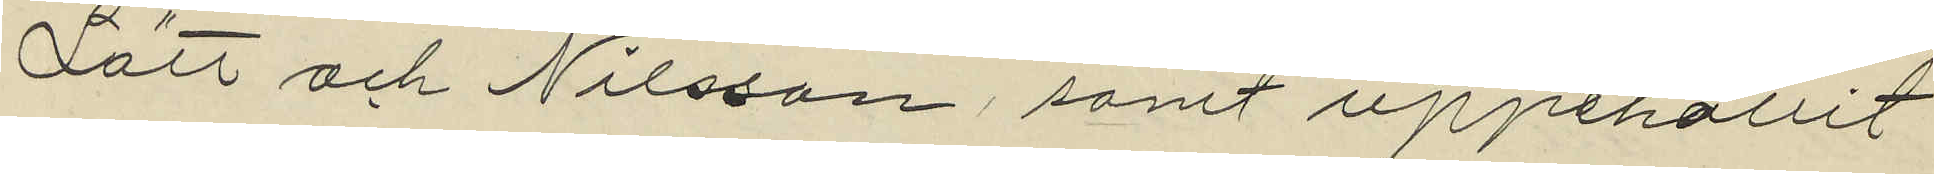Lätt och Nilsson, samt uppehållit
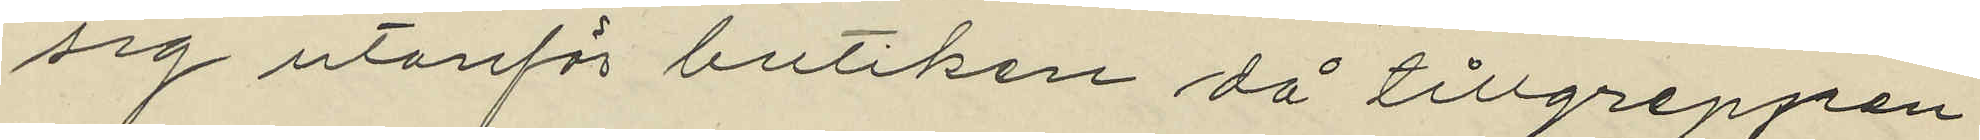sig utanför butiken då tillgreppen
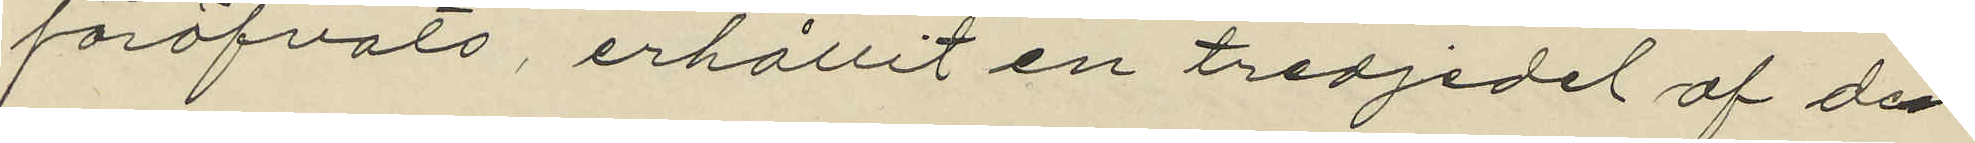föröfvats erhållit en tredjedel af den
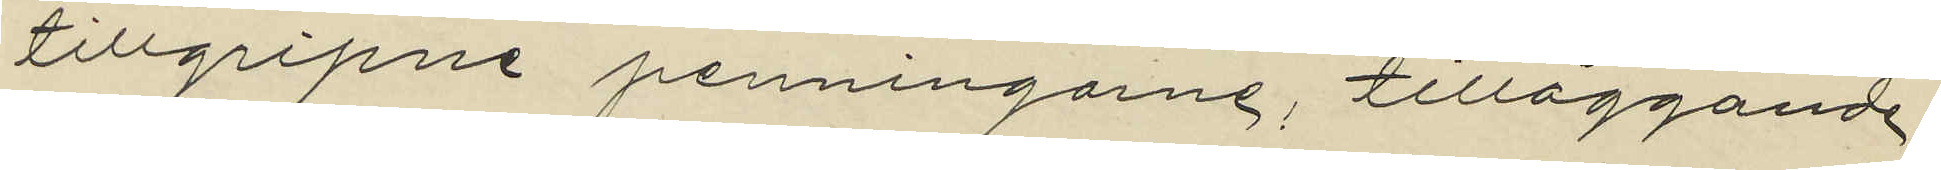tillgripne penningarne, tilläggande
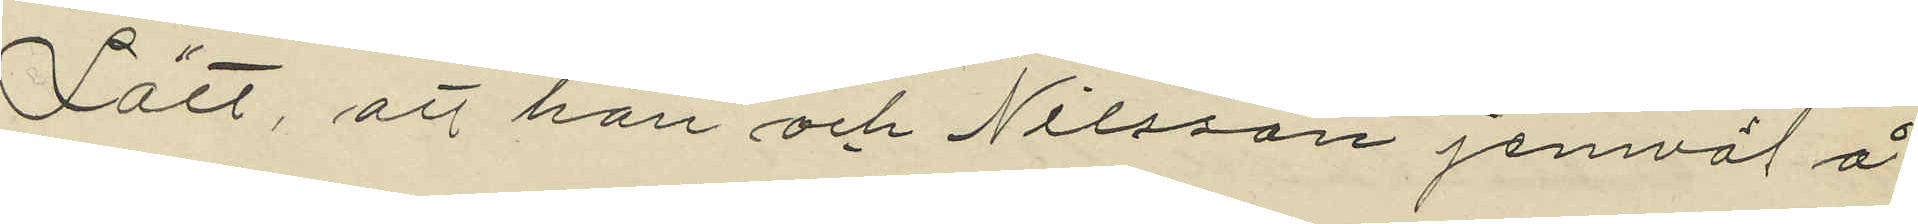Lätt, att han och Nilsson jemväl å
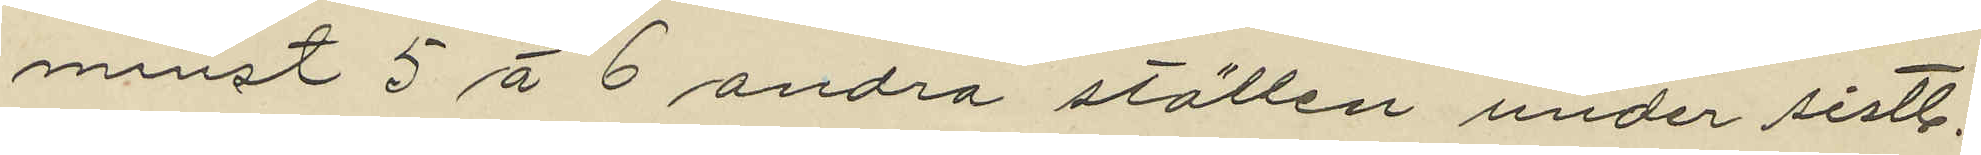minst 5 á 6 andra ställen under sistl.
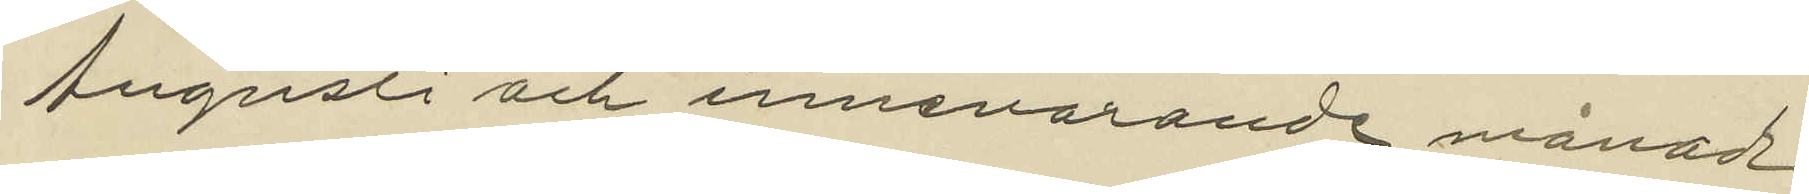Augusti och innevarande månad
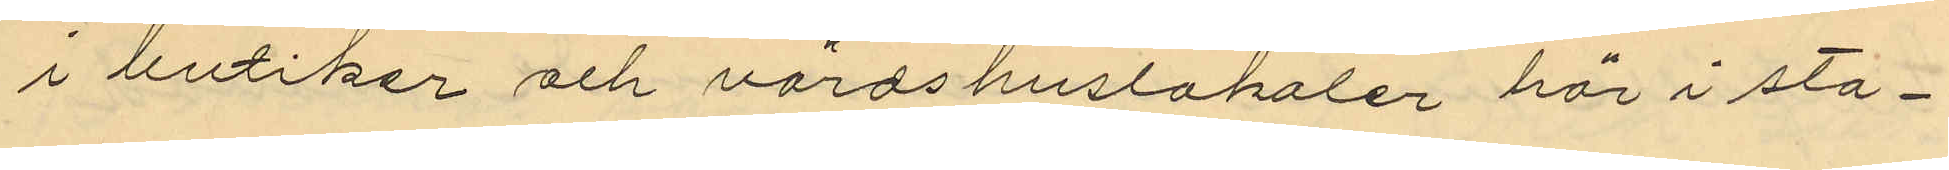i butiker och värdshuslokaler här i sta¬
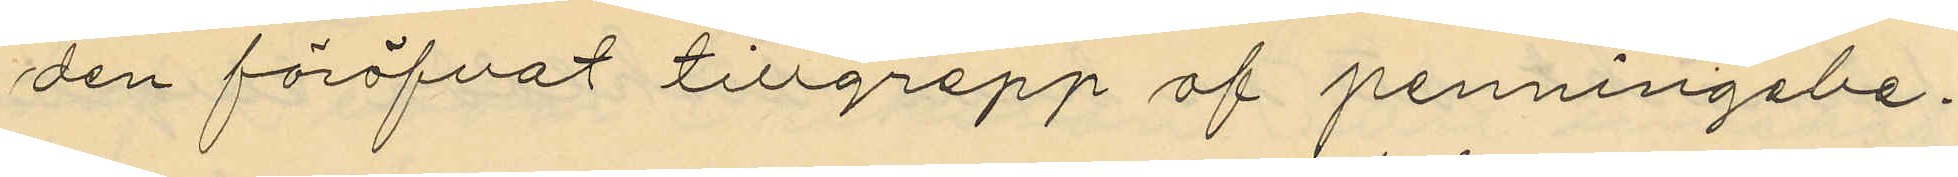den föröfvat tillgrepp af penningabe¬
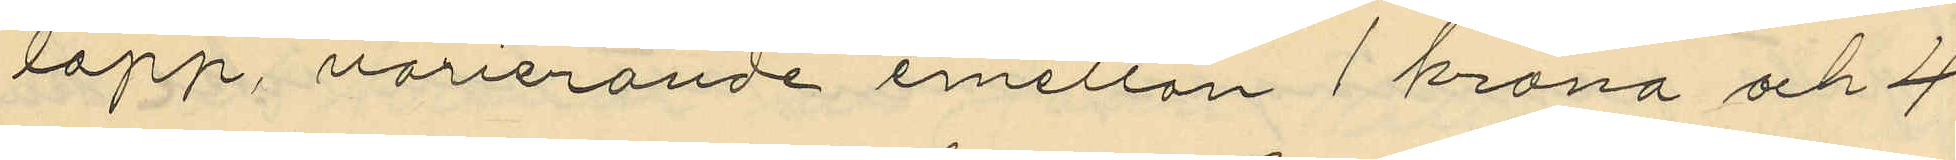lopp, varierande emellan 1 krona och 4
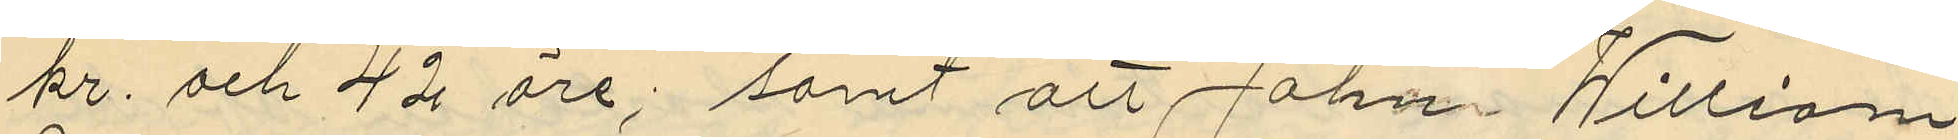kr. och 42 öre; samt att Johan William
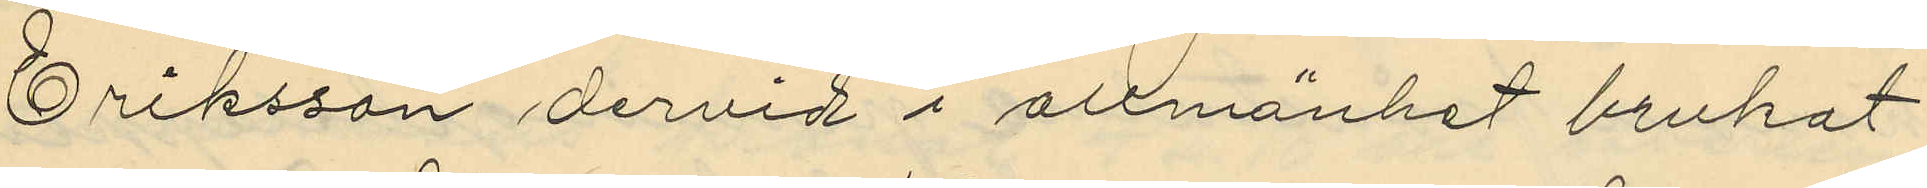Eriksson dervid i allmänhet brukat
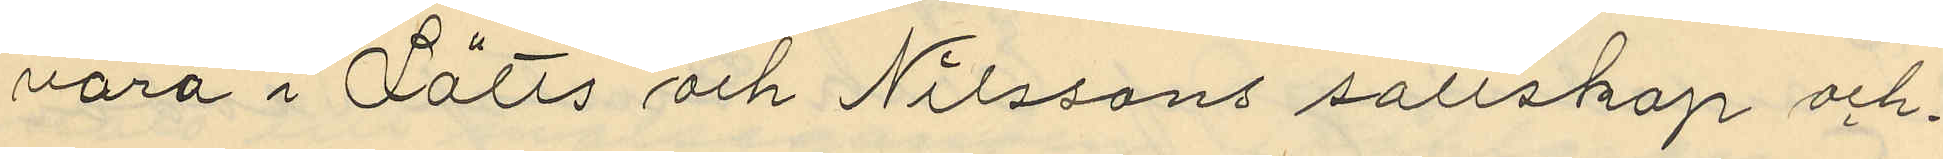vara i Lätts och Nilssons sällskap och
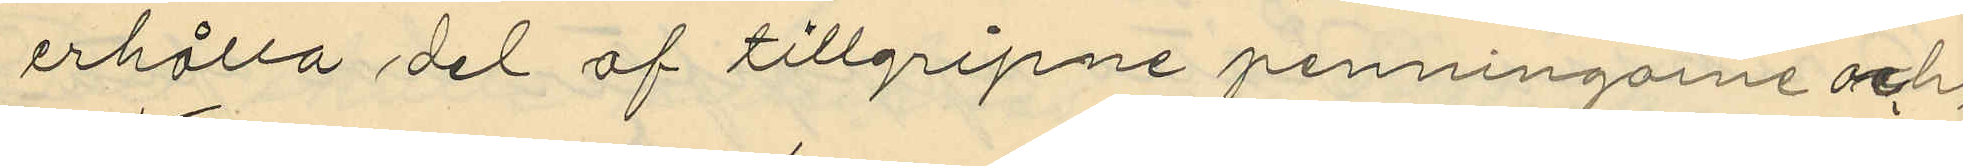erhålla del af tillgripne penningarne och,
